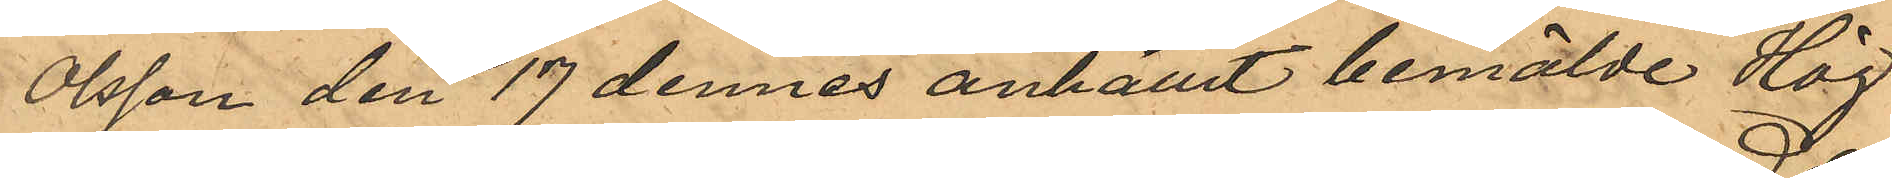Olsson den 17 dennes anhållit bemälde Hög¬
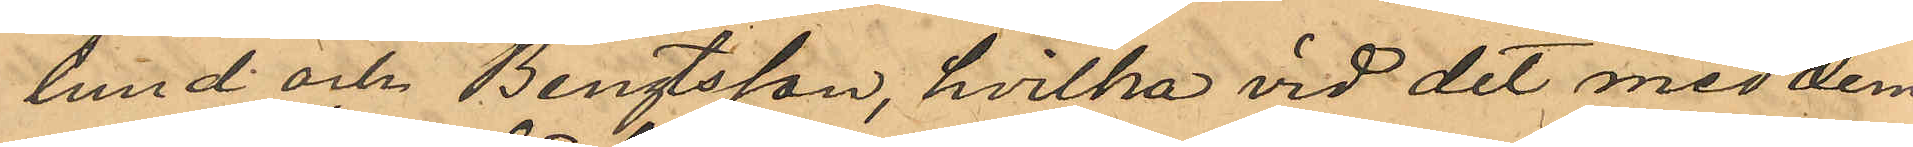lund och Bengtsson, hvilka vid det med dem
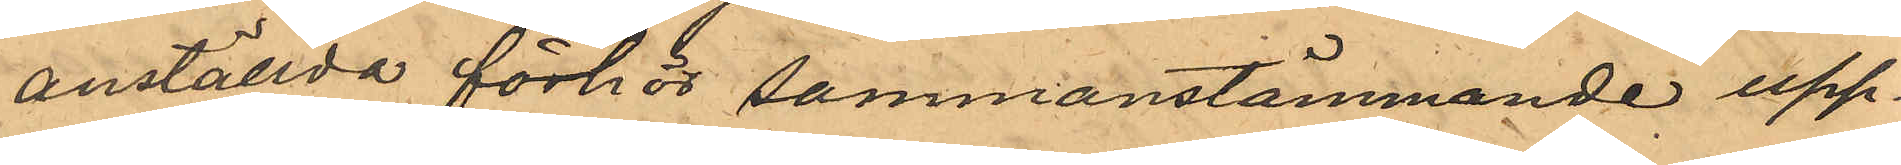anställda förhör sammanstämmande upp¬
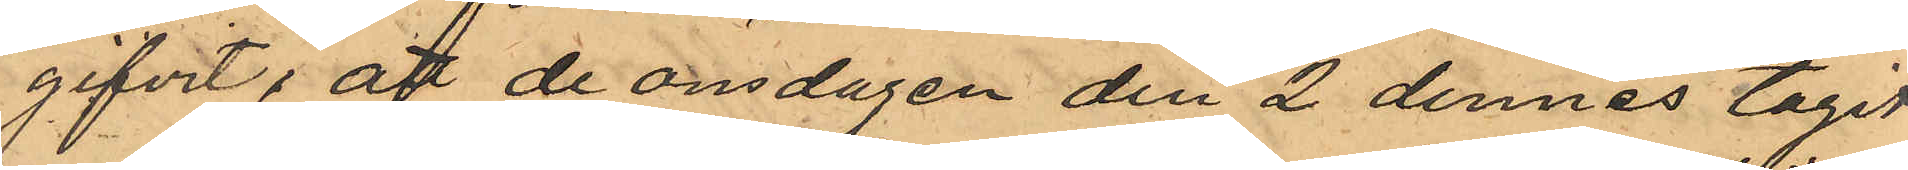gifvit, att de onsdagen den 2 dennes tagit
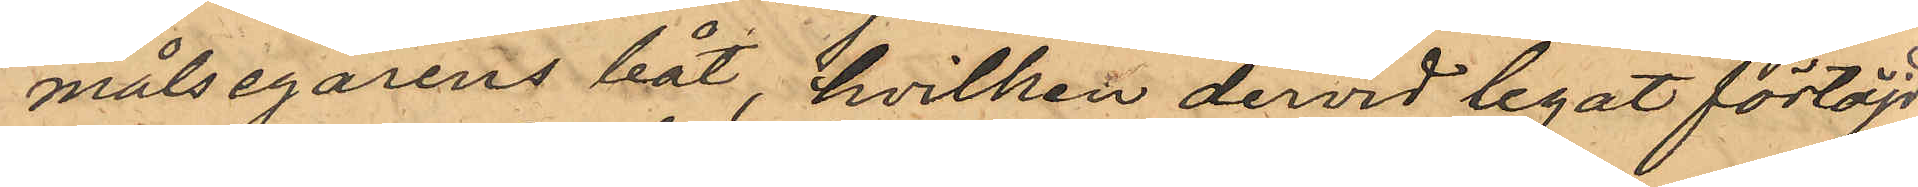målsegarens båt, hvilken dervid legat förtöjd
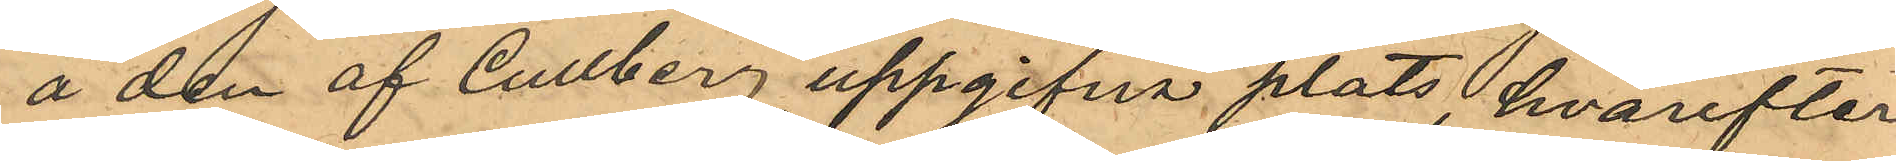å den af Cullberg uppgifna plats, hvarefter
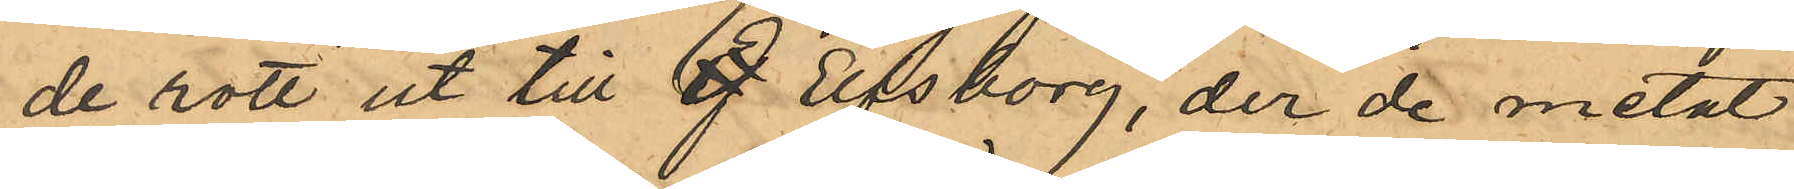de rott ut till Ef Elfsborg, der de metat
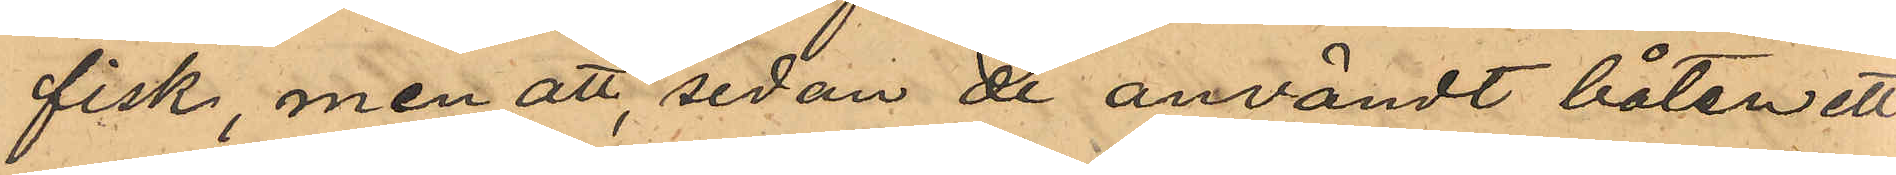fisk, men att, sedan de användt båten ett
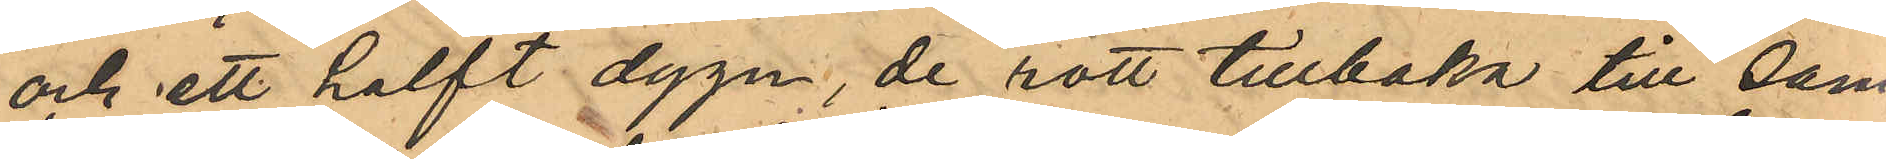och ett halft dygn, de rott tillbaka till sam¬
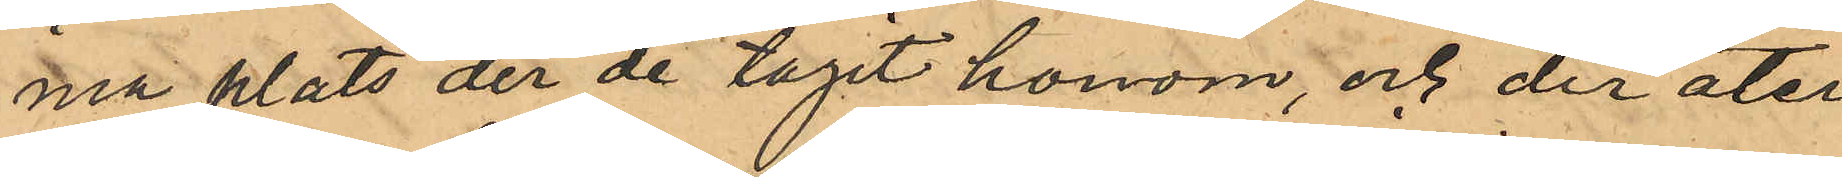ma plats der de tagit honom, och der åter¬
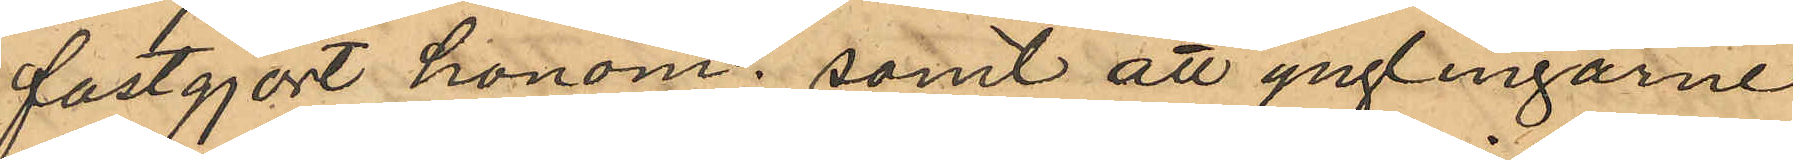fastgjort honom; samt att ynglingarne
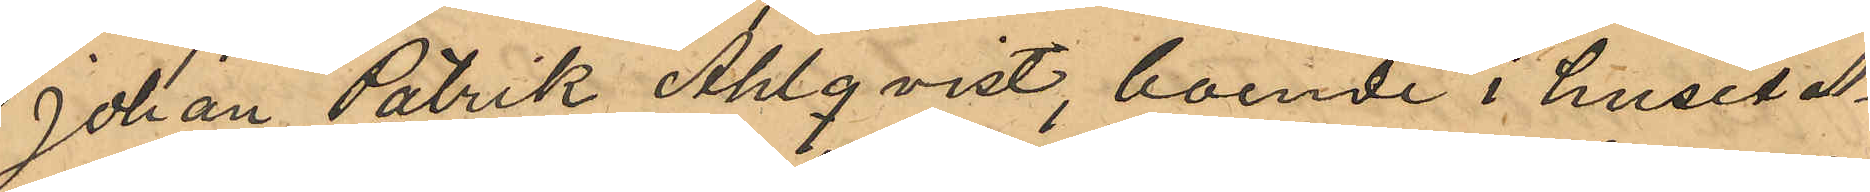Johan Patrik Ahlqvist, boende i huset No
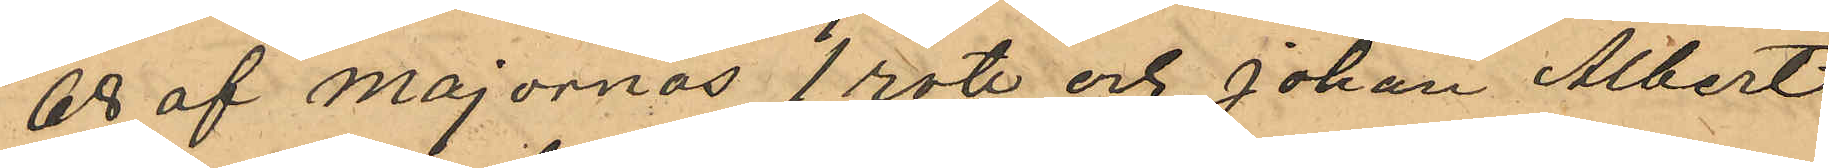68 af Majornas 1 rote och Johan Albert
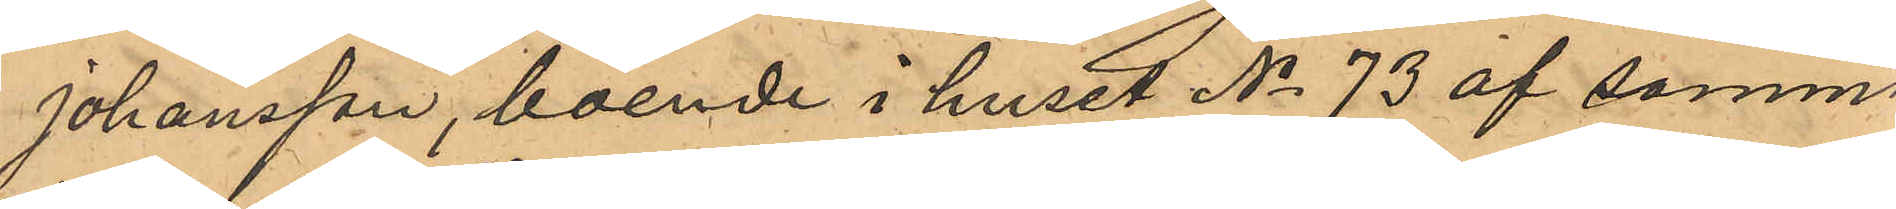Johansson, boende i huset No 73 af samma
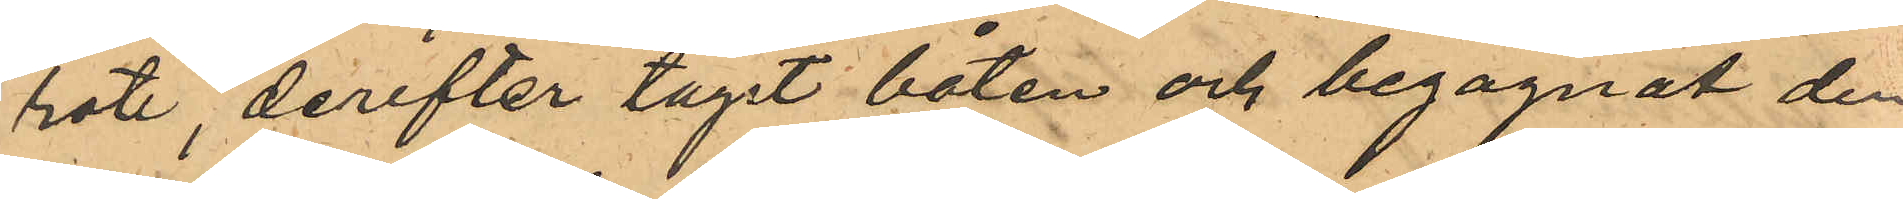rote derefter tagit båten och begagnat den
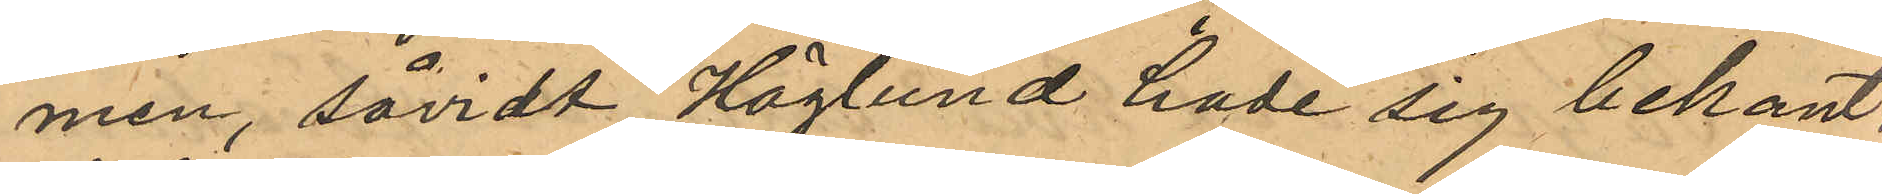men, såvidt Höglund hade sig bekant,
